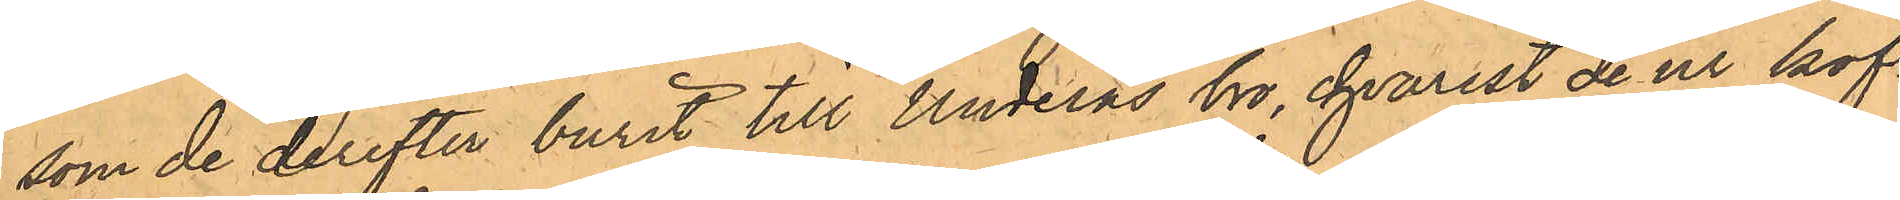som de derefter burit till Underås bro, hvarest de ur kof¬
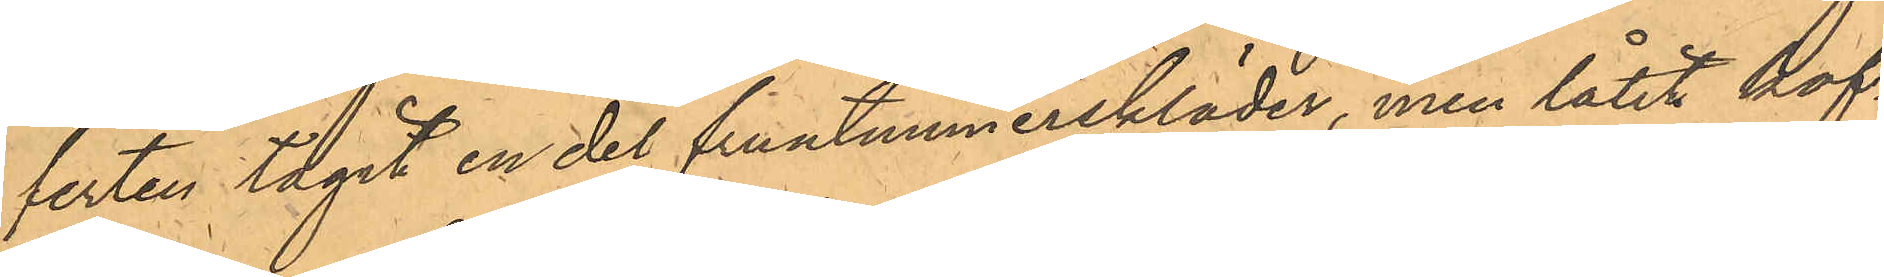ferten tagit en del fruntimmerskläder, men låtit kof¬
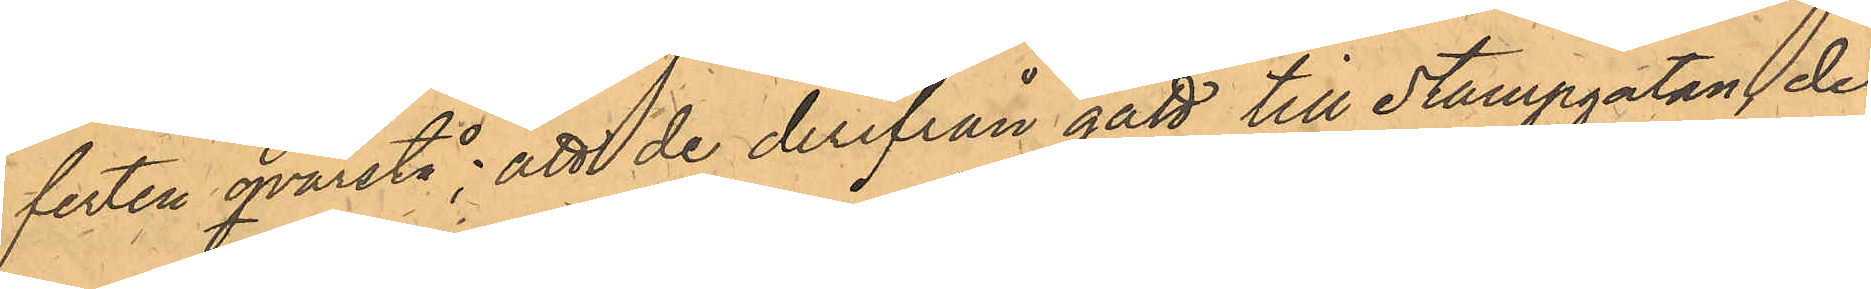ferten qvarstå; att de derifrå gått till Stampgatan der
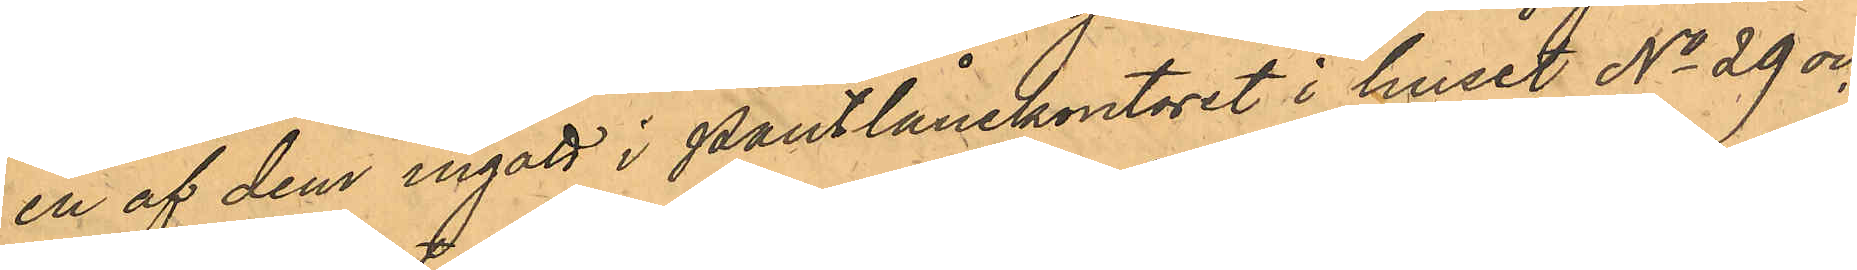en af dem ingått i Pantlånekontoret i huset No 29 och
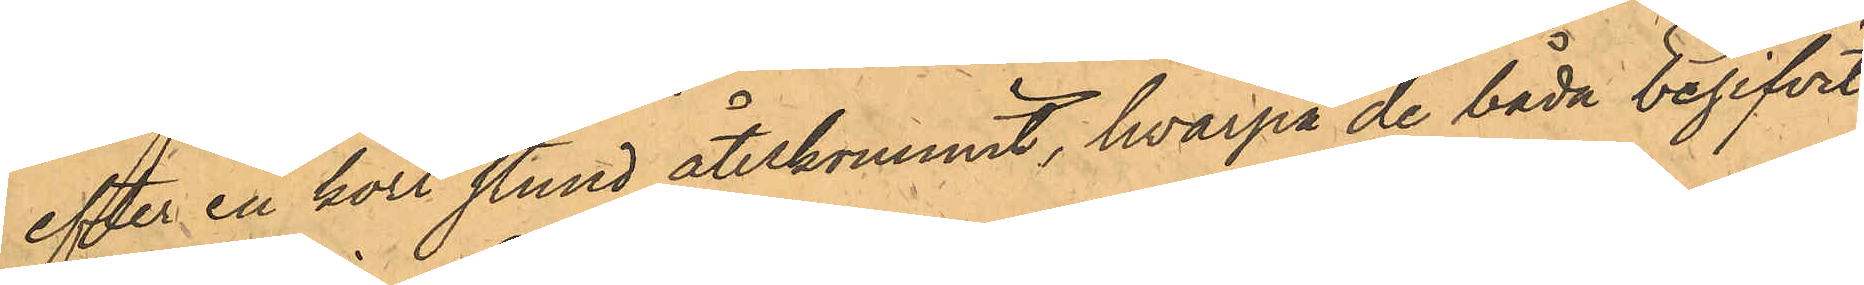efter en kort stund återkommit, hvarpå de båda begifvit
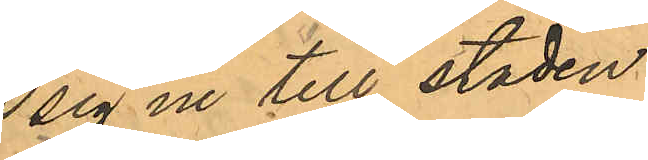sig in till staden.
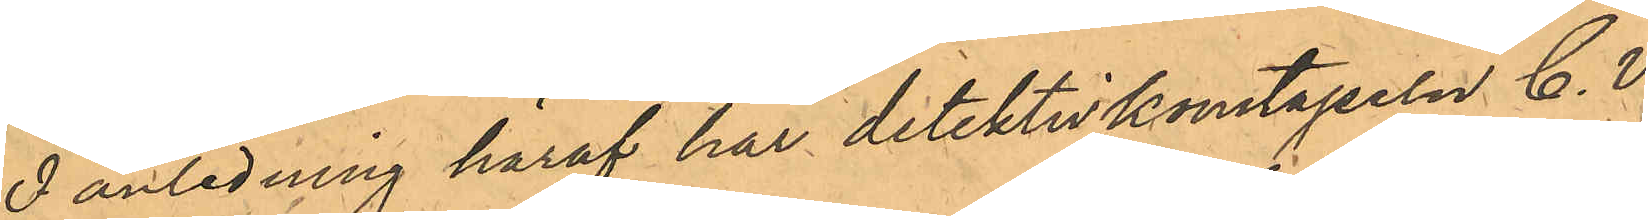I anledning häraf har detektivkonstapeln C. V.
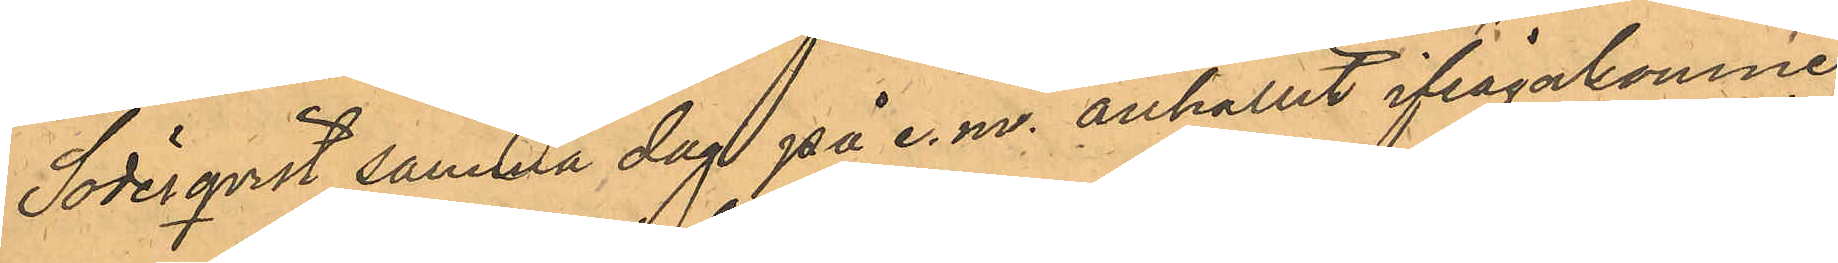Söderqvist samma dag på e.m. anhållit ifrågakomne
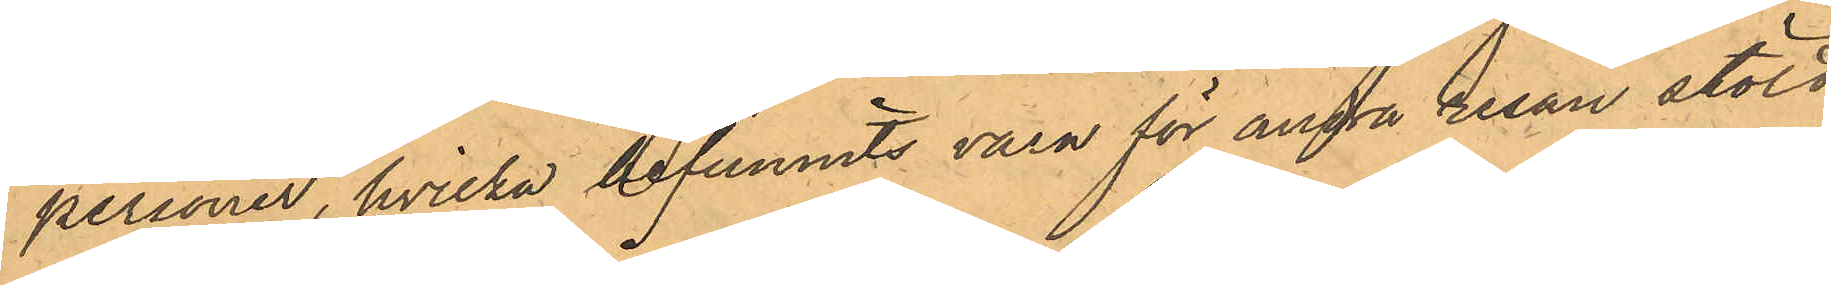personer, hvilka befunnits vara för andra resan stöld
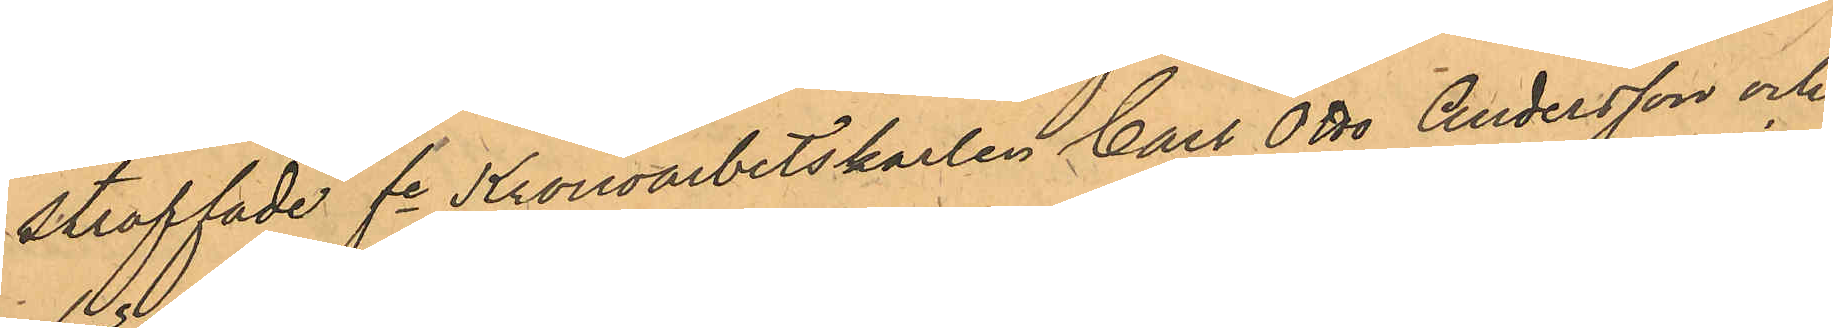straffade fe Kronoarbetskarlen Carl Otto Andersson och
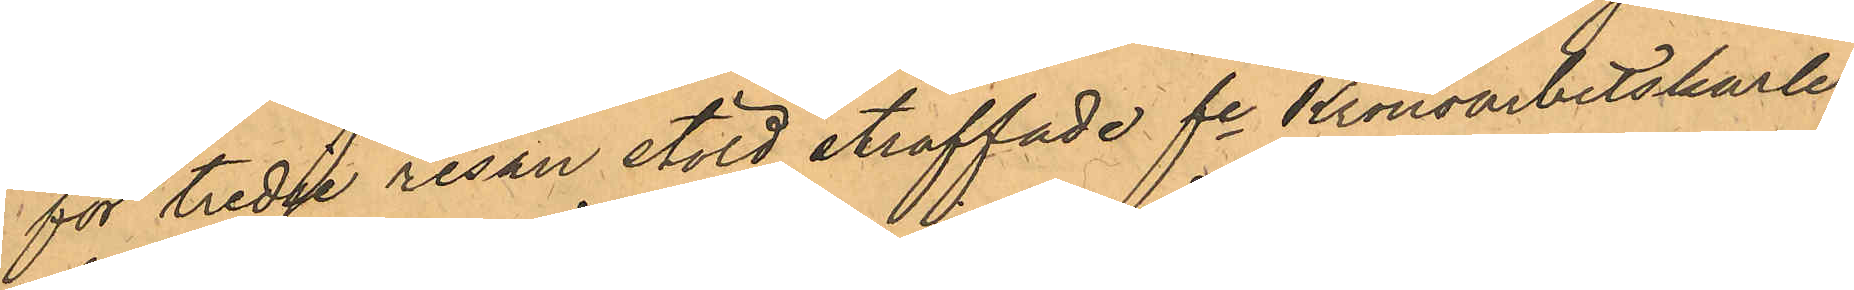för tredje resan stöld straffade fe Kronoarbetskarlen
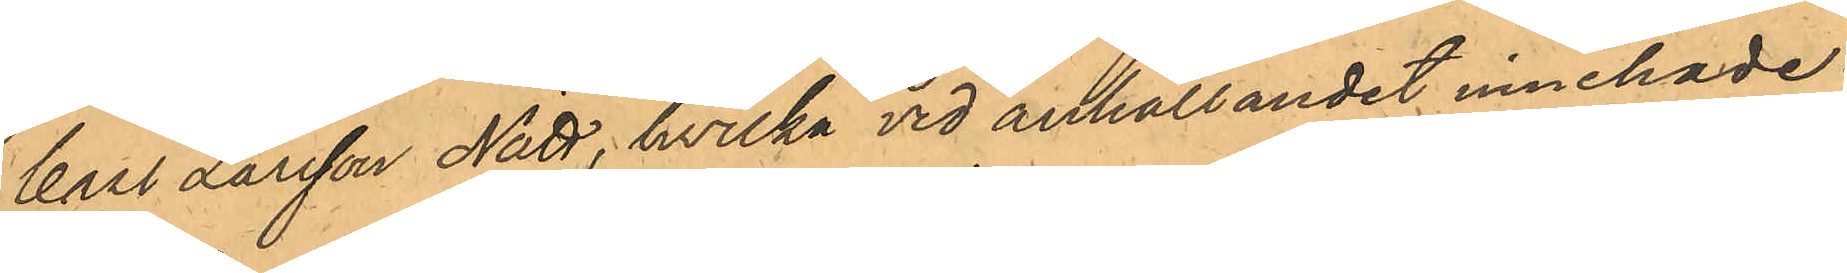Carl Larsson Nätt, hvilka vid anhållandet innehade:
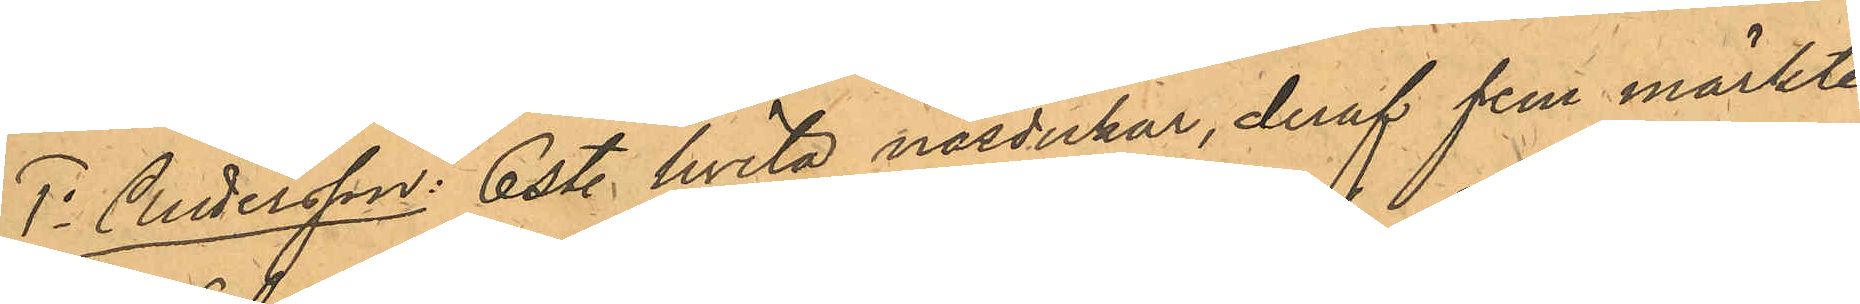1o Andersson: 6 st. hvita näsdukar, deraf fem märkte
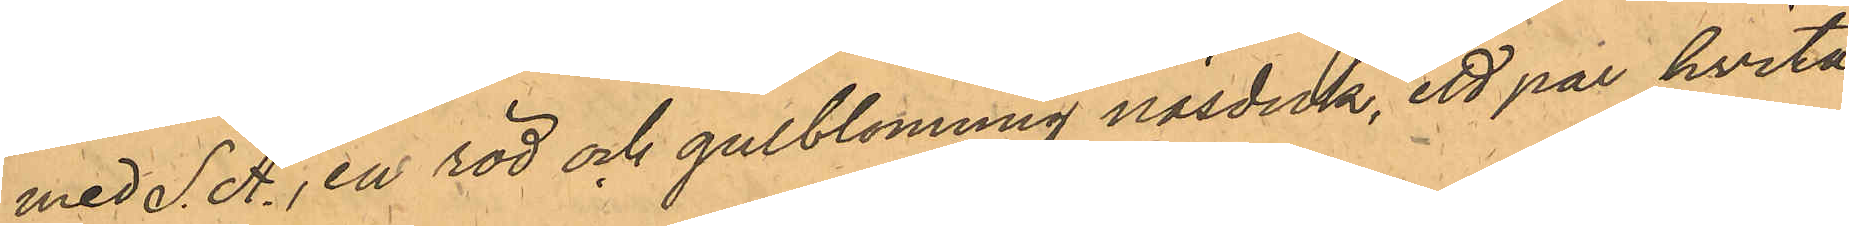med S. A. , en röd och gulblommig näsduk, ett par hvita
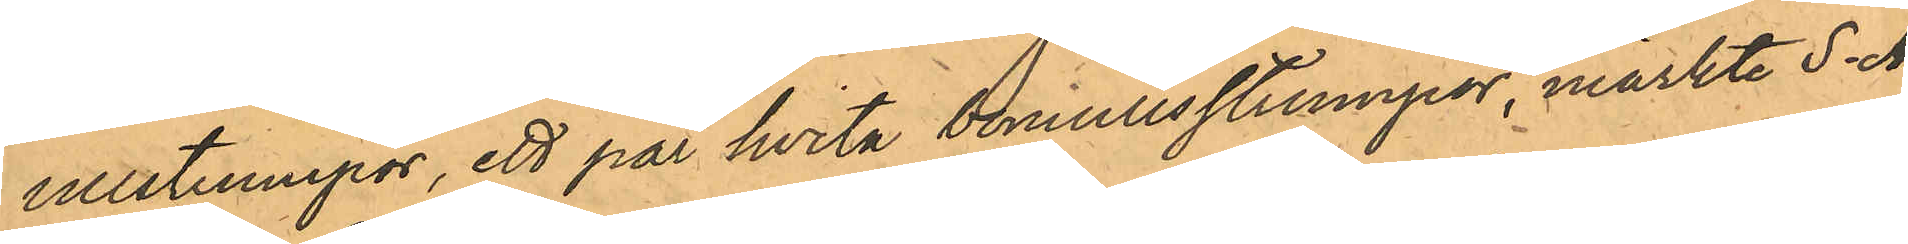ullstrumpor, ett par hvita bomullsstrumpor, märkte S. A.
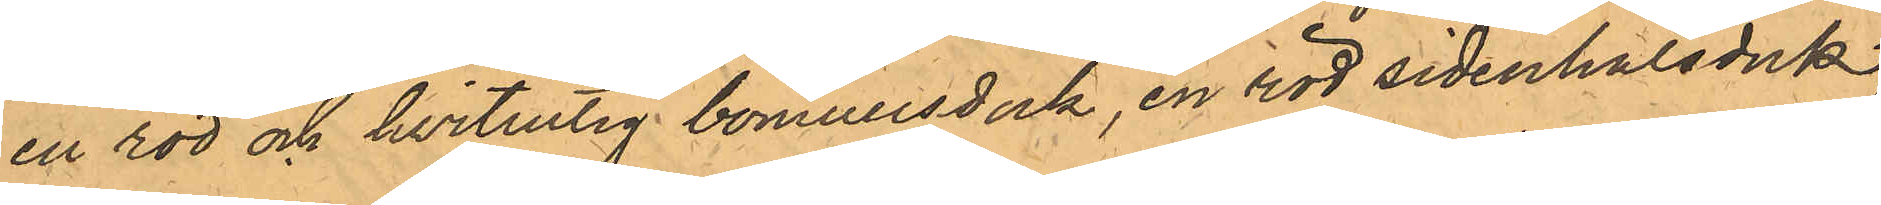en röd och hvitrutig bomullsduk, en röd sidenhalsduk,
